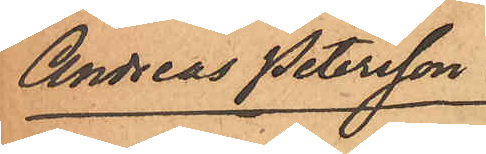Andreas Petersson
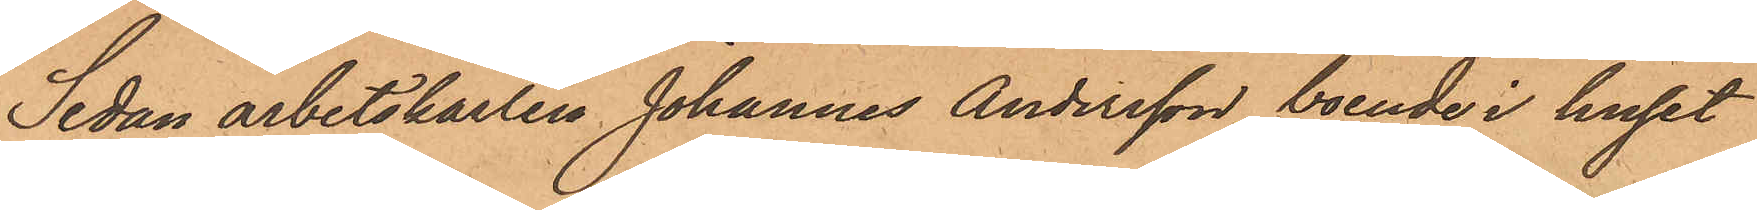Sedan arbetskarlen Johannes Andersson, boende i huset
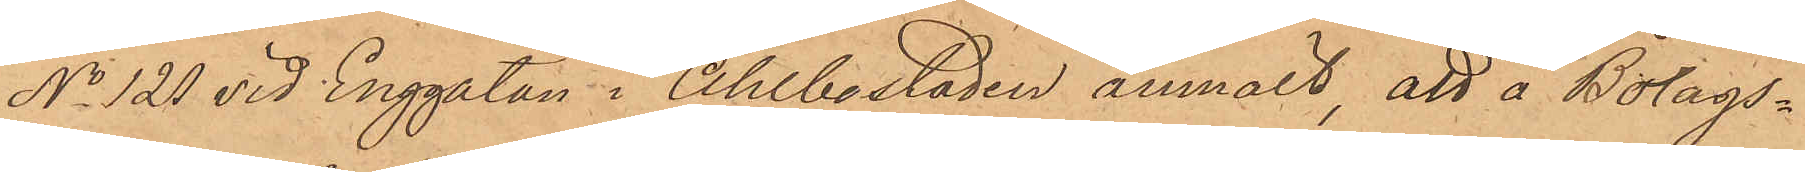No 120 vid Enggatan i Ahlbostaden anmält, att å Bolags¬
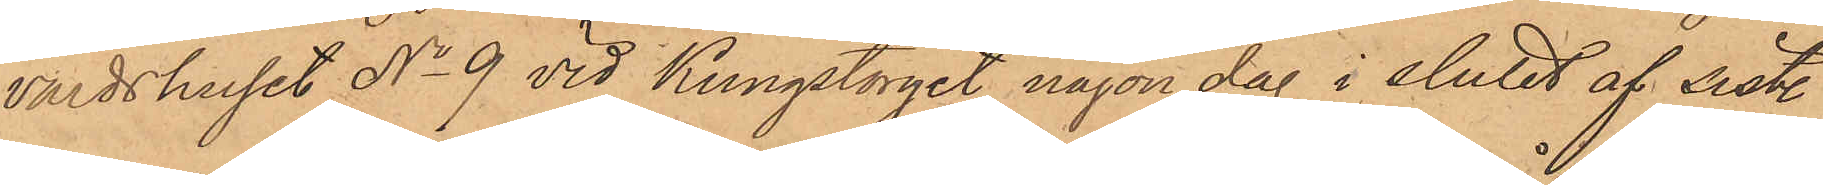värdshuset No 9 vid Kungstorget någon dag i slutet af sist.
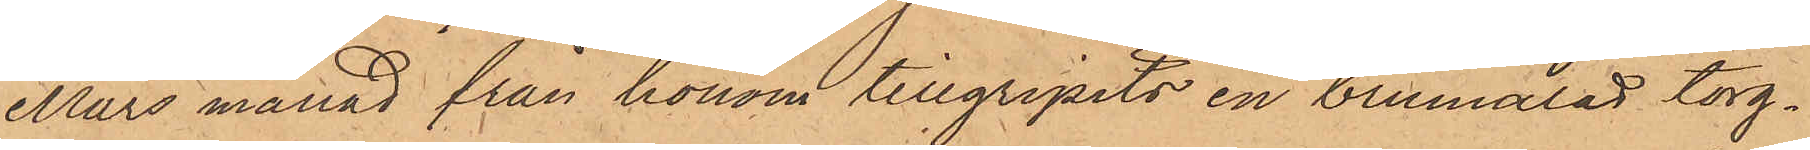Mars månad från honom tillgripits en brumålad torg¬
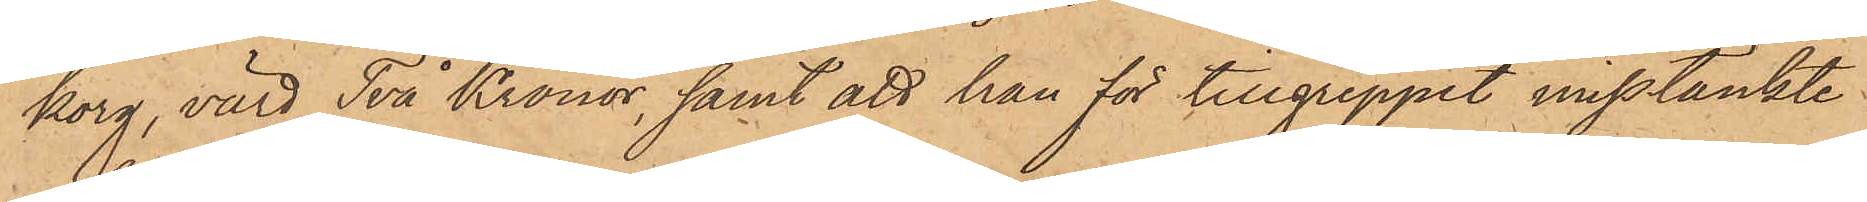korg, värd Två Kronor, samt att han för tillgreppet misstänkte
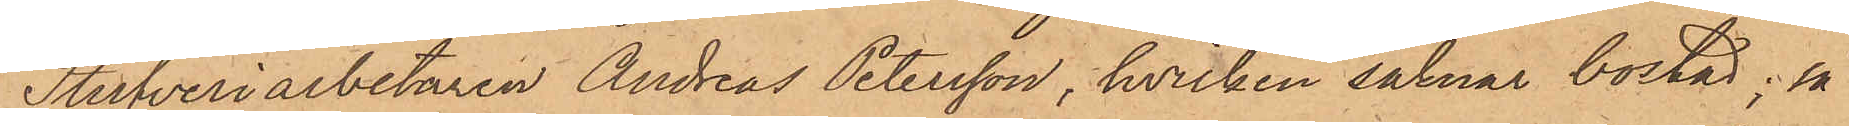Stufveriarbetaren Andreas Petersson, hvilken saknar bostad; så
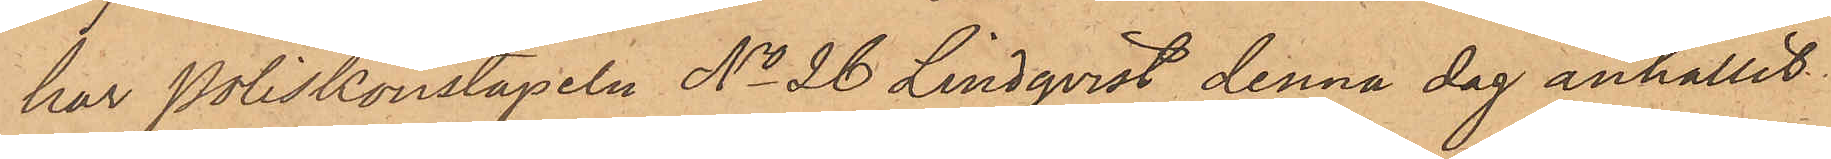har Poliskonstapeln No 26 Lindqvist denna dag anhållit
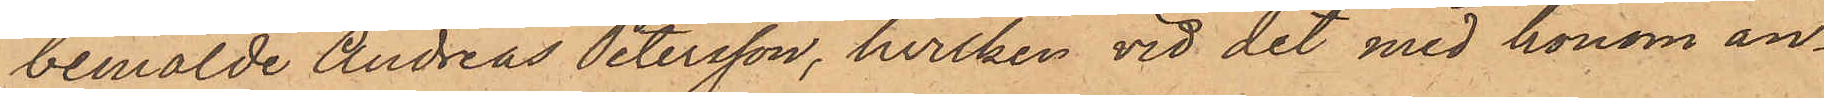bemälde Andreas Petersson, hvilken vid det med honom an¬
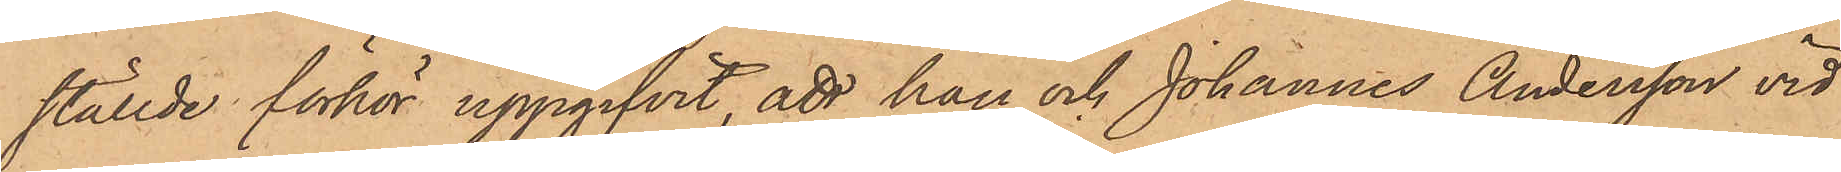ställde förhör uppgifvit, att han och Johannes Andersson vid
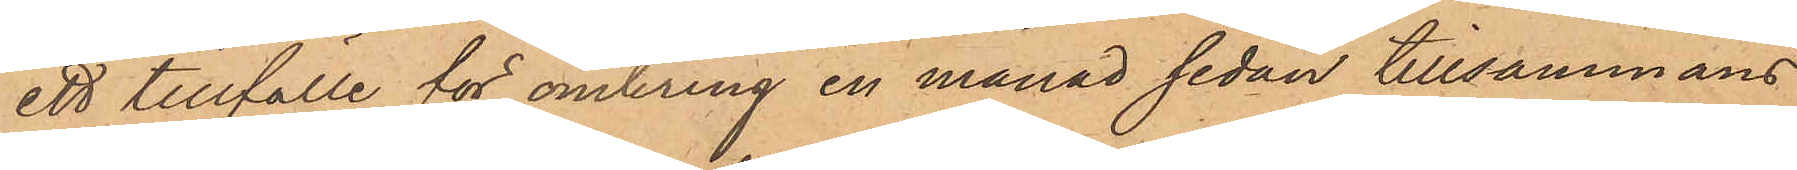ett tillfälle för omkring en månad sedan tillsammans
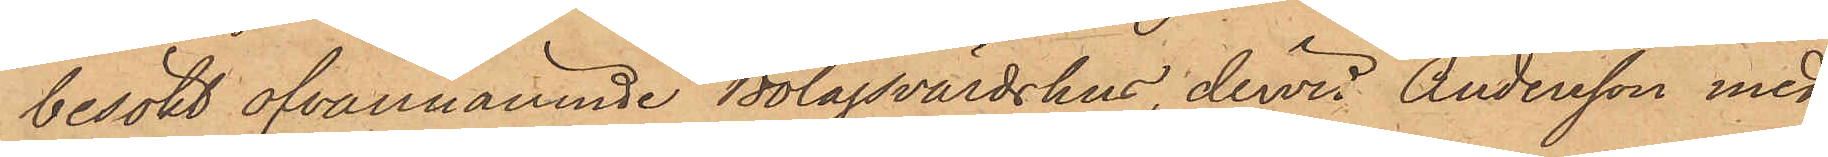besökt ofvannämnde Bolagsvärdshus, dervid Andersson med¬
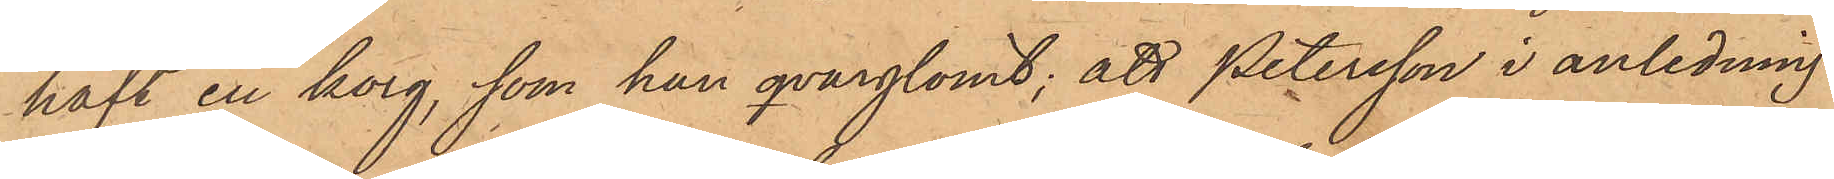haft en korg, som han qvarglömt; att Petersson i anledning
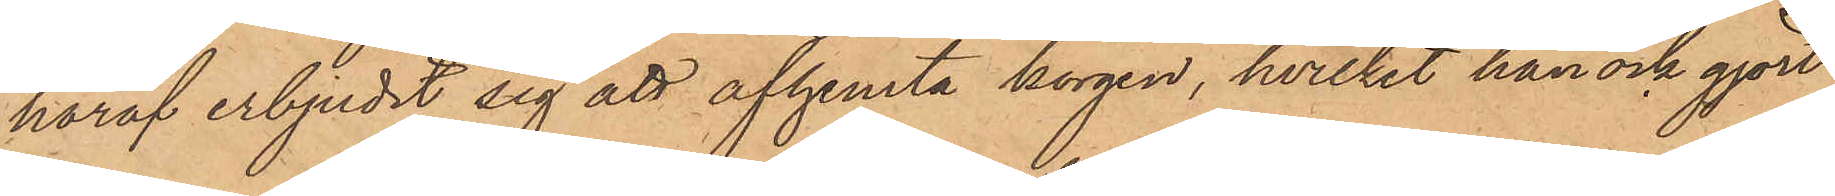häraf erbjudit sig att afhemta korgen, hvilket han ock gjort
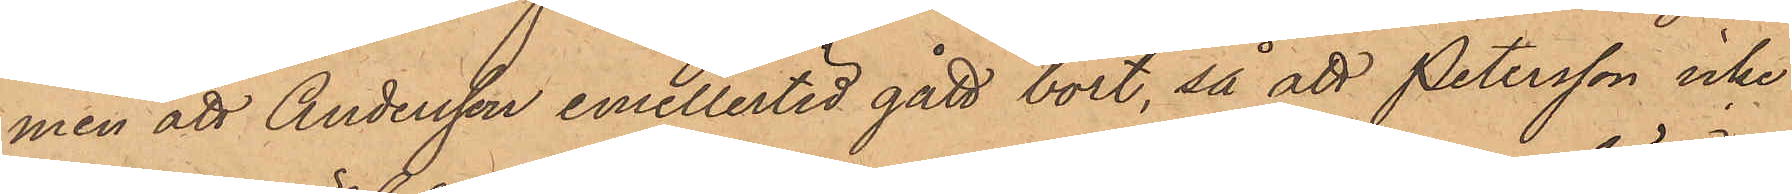men att Andersson emellertid gått bort, så att Petersson icke
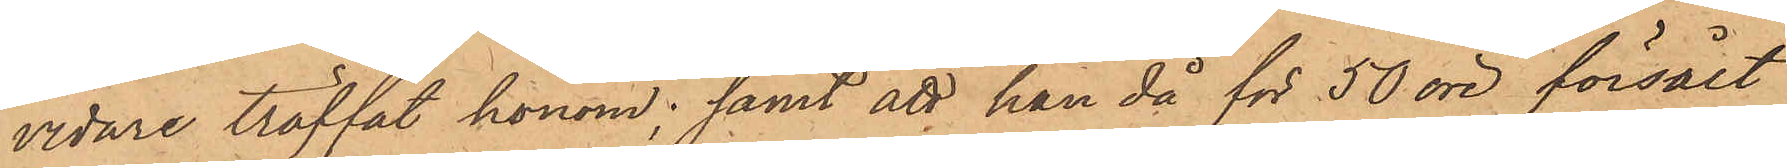vidare träffat honom; samt att han då för 50 öre försålt
